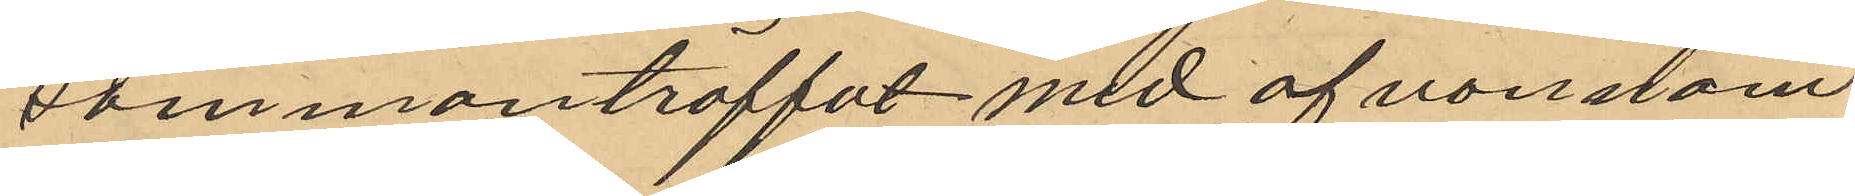sammanträffat med af omnäm¬
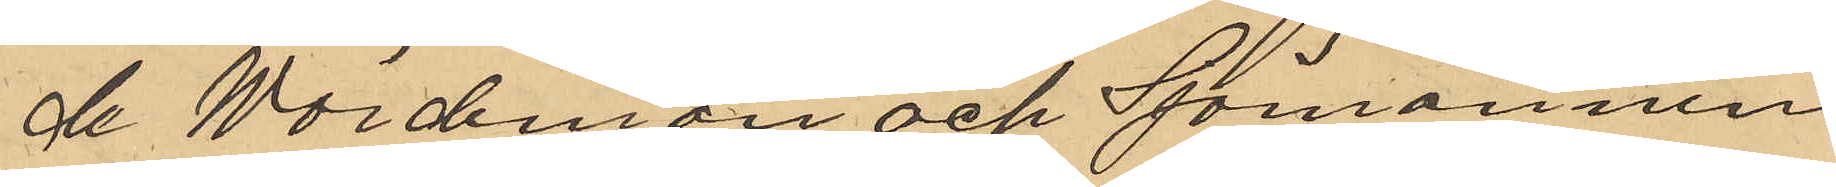de Wördeman och Sjömannen
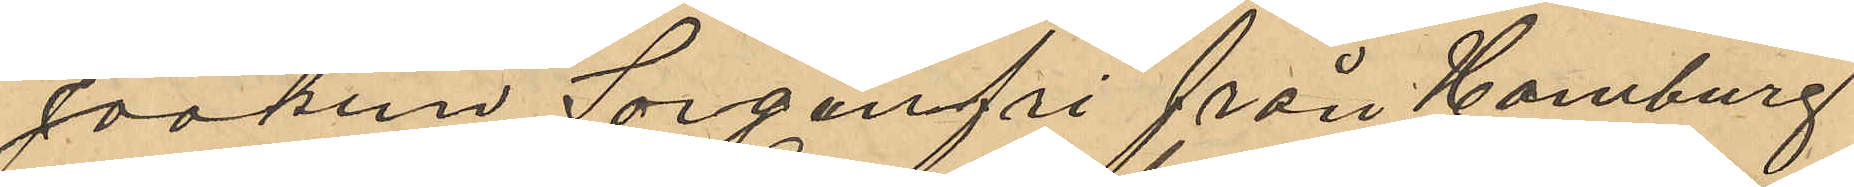Joakim Sorgenfri från Hamburg
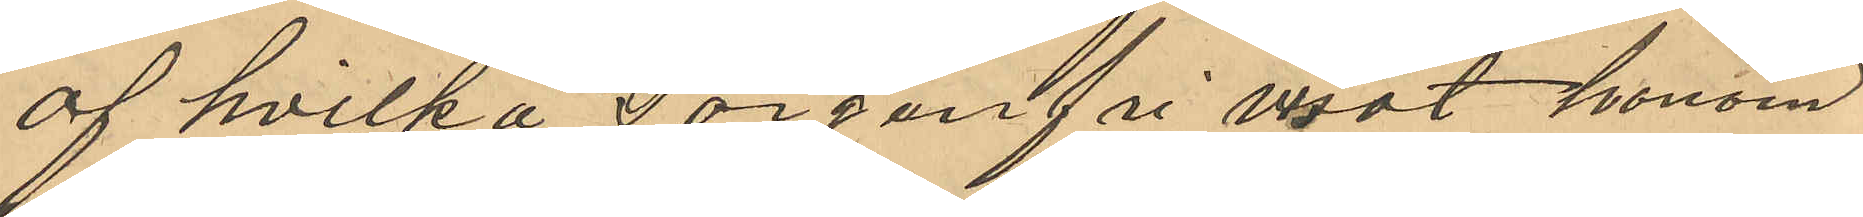af hvilka Sorganfri visat honom
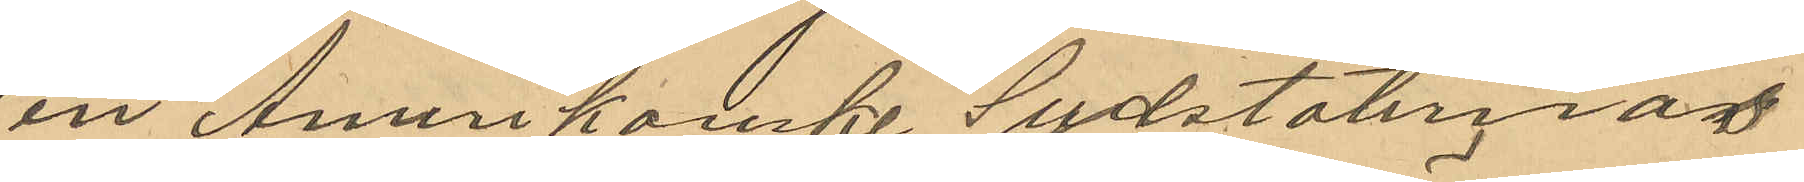en Amerikanske Sydstaternas
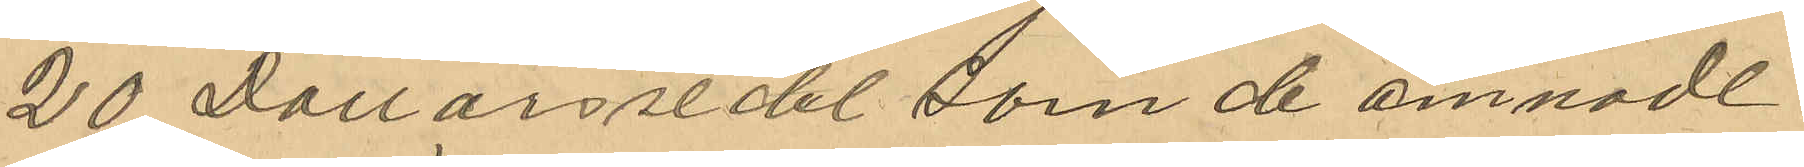20 Dollarssedel som de ämnade
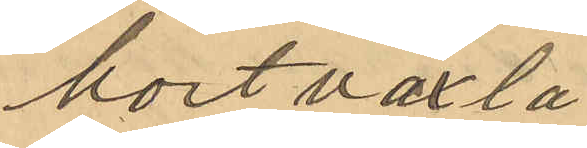kort växla
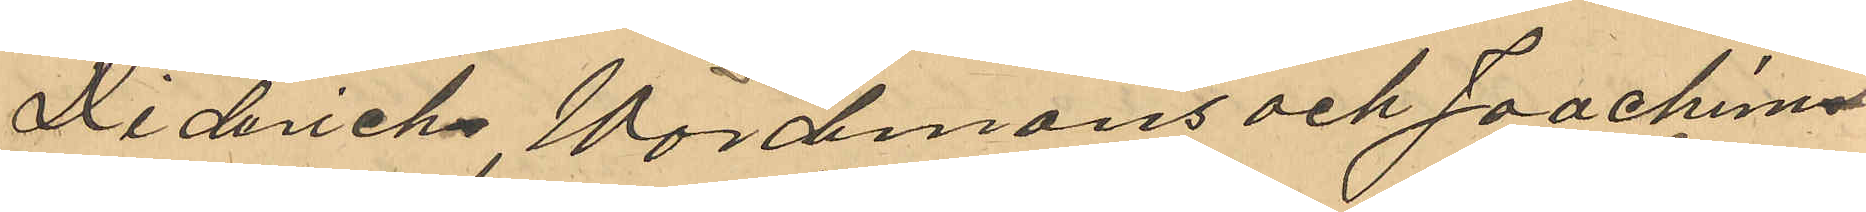Diderichs Wördemans och Joachim
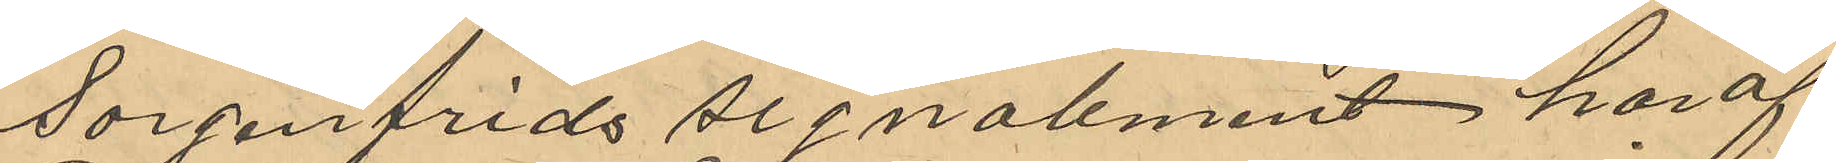Sorgenfrids signalement har af
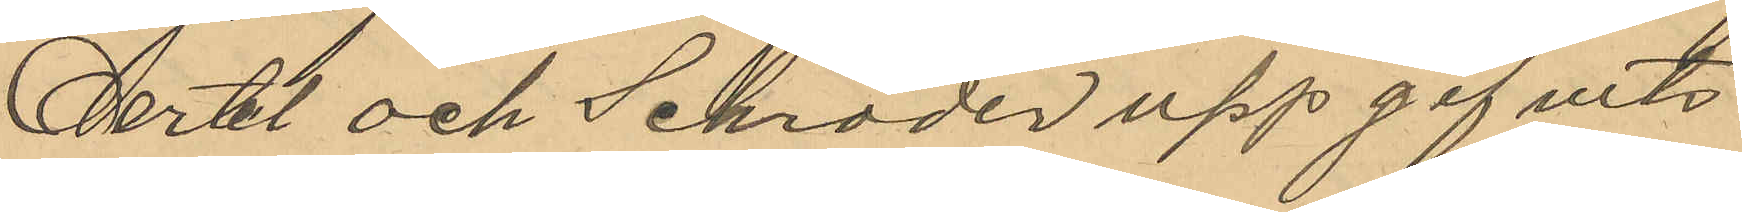Oertel och Schröder uppgef ¬vits
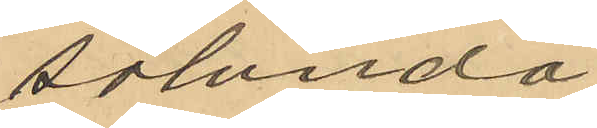sålunda
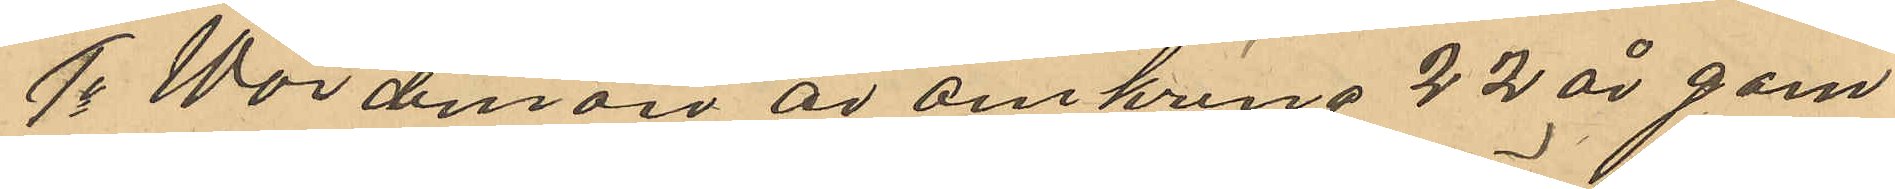1o Wördeman är omkring 22 år gam¬
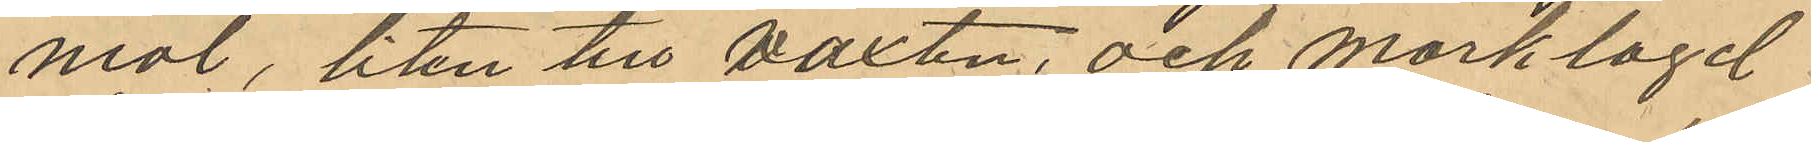mal, liten till växten, och mörklagd
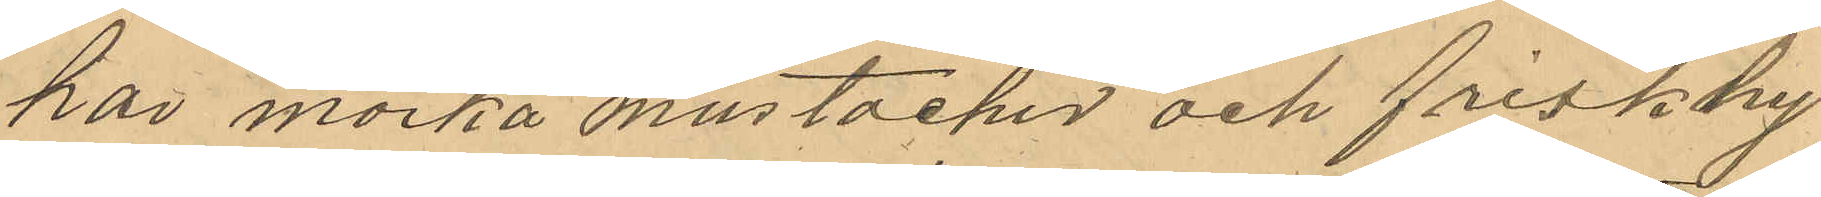har mörka mustacher och frisk hy
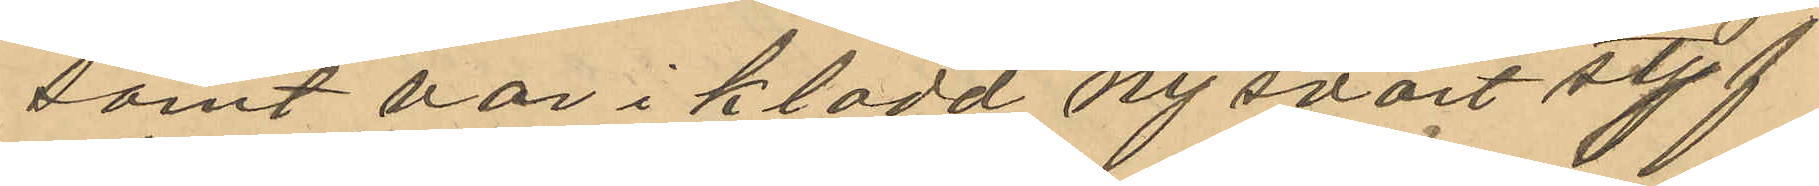samt var i klädd, ny svart styf
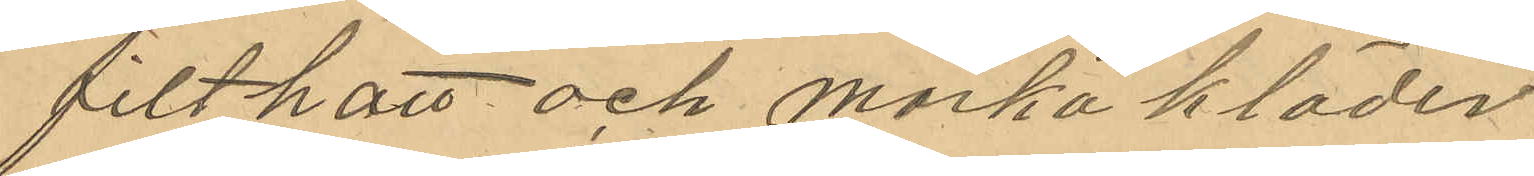filthatt och mörka kläder
